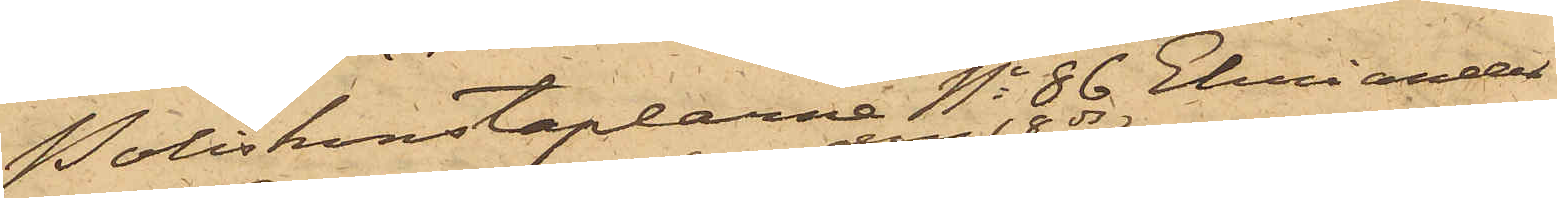Poliskonstaplarne No 86 Ehriander
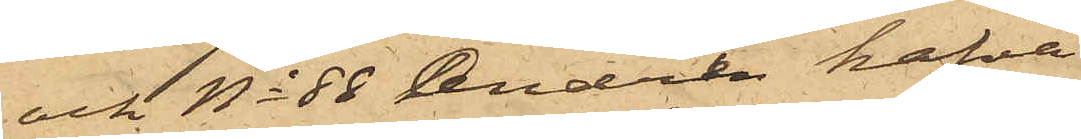och No 88 Andrén hafva
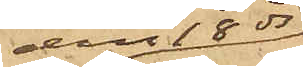den 18 ds
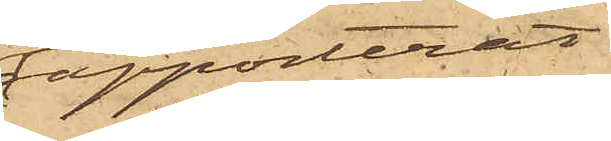rapporterat
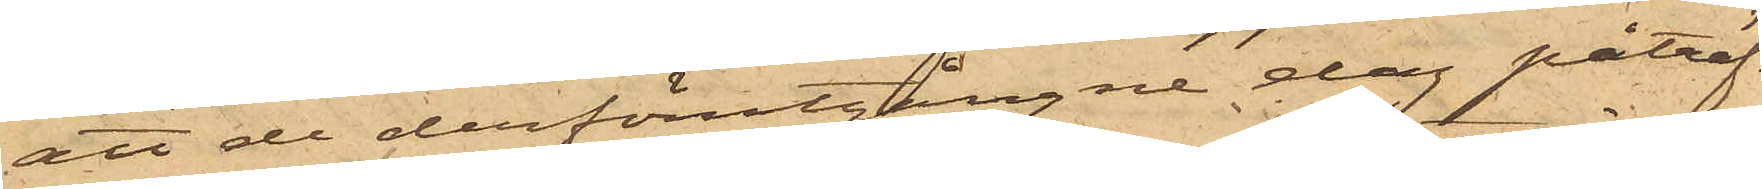att de derförutgångne dag påträf¬
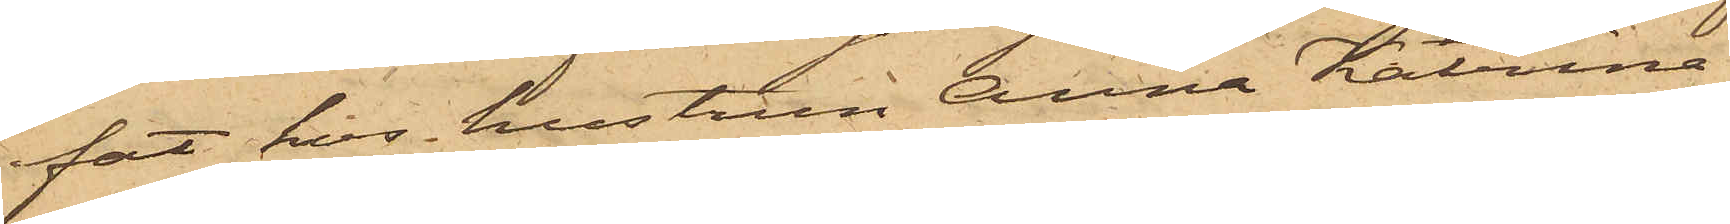fat hos hustrun Anna Katrina
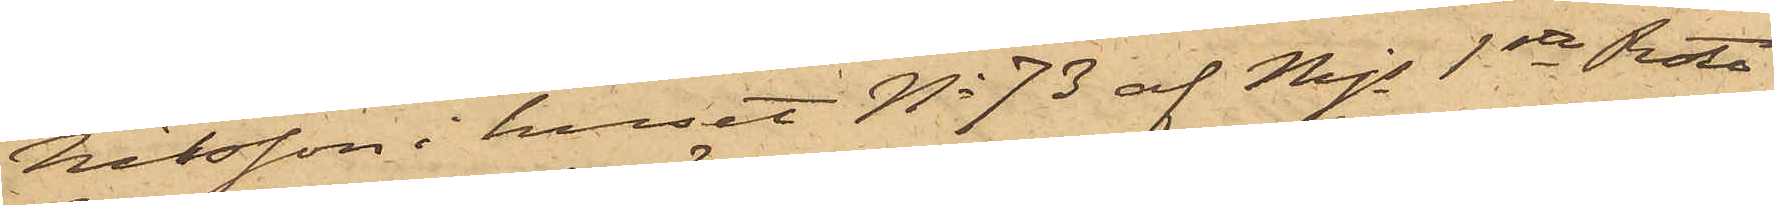Nilsson i huset No 73 af Mjs 1sta Rote
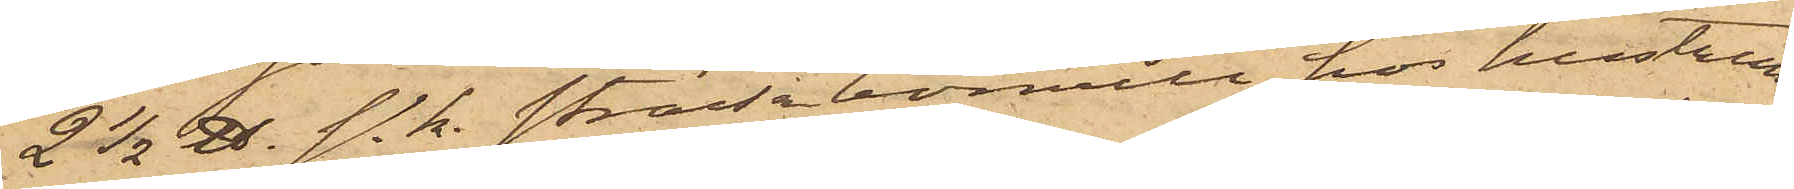2 1/2 ℔. s. k. ströde bomull, hos hustrun
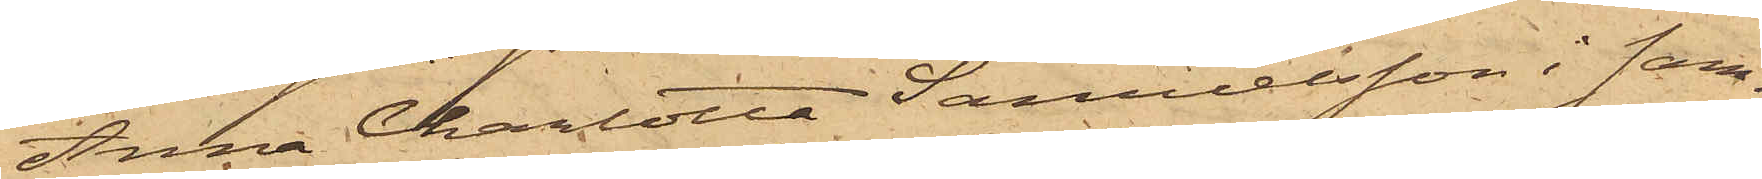Anna Charlotta Samuelsson i sam¬
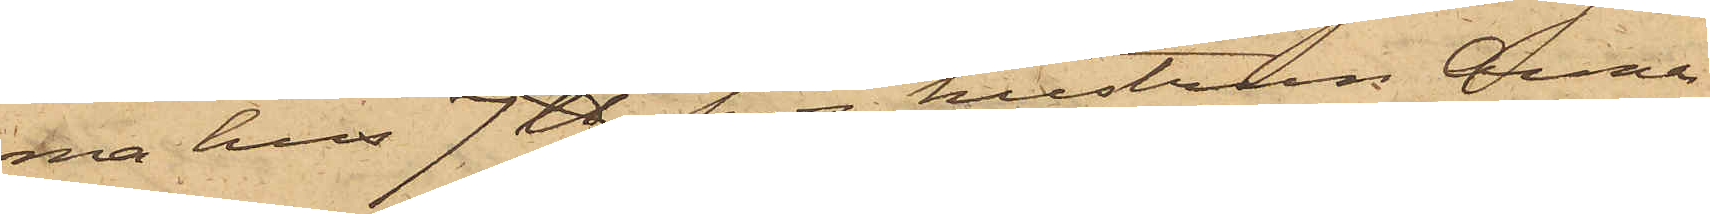ma hus 7 ℔, hos hustrun Anna
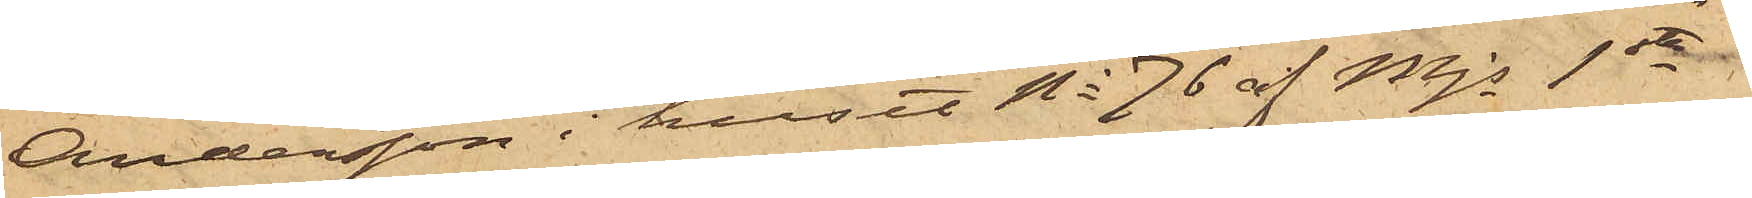Andersson i huset No 76 af Mjs 1sta
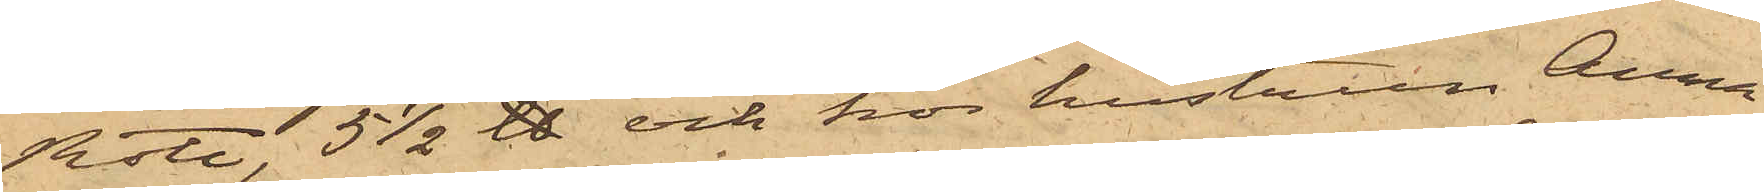Rote, 5 1/2 ℔ och hos hustrun Anna
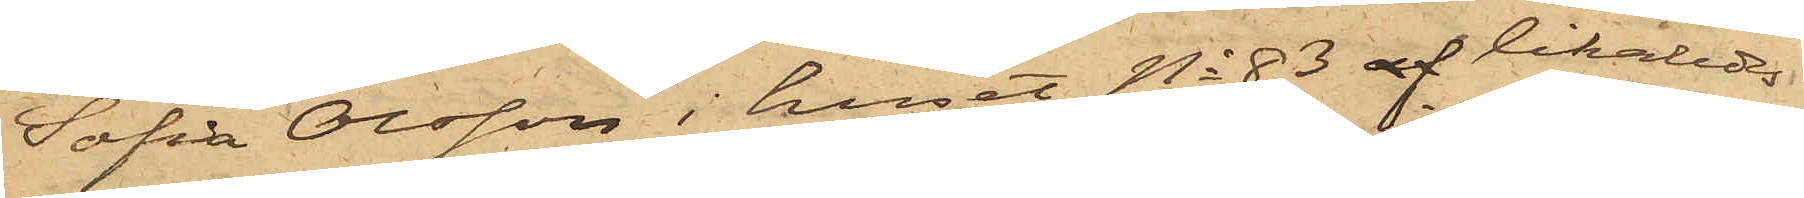Sofia Olsson i huset No 83 af likaledes
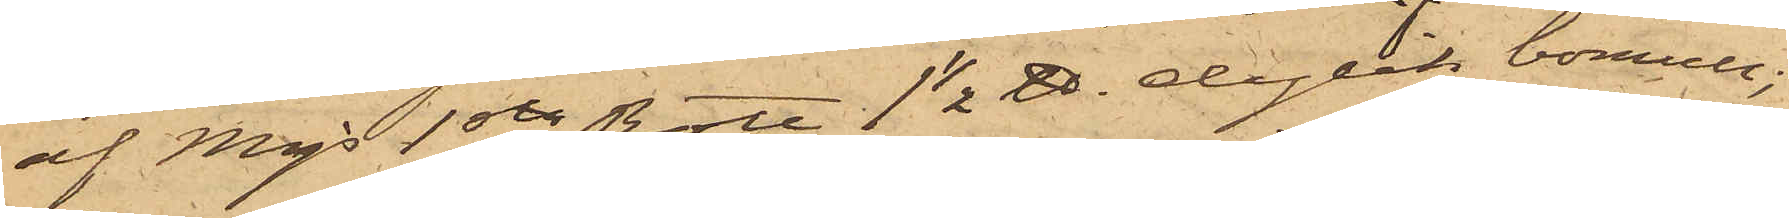af Majs 1sta Rote, 1 1/2 ℔. dylik bomull;
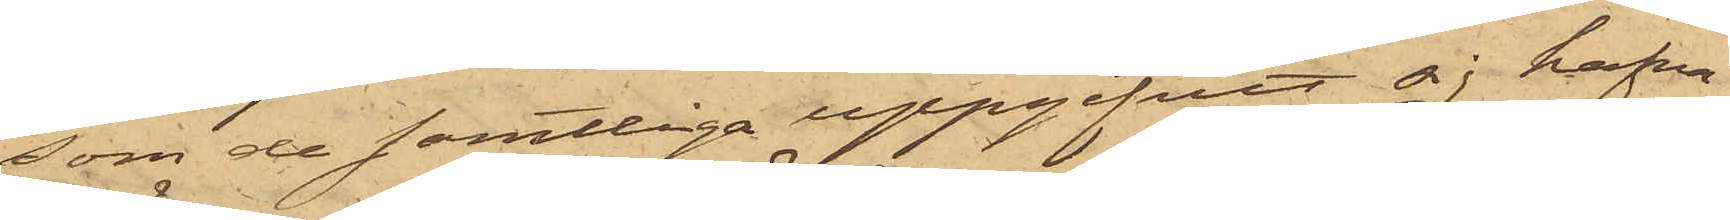som de samtliga uppgifvit sig hafva
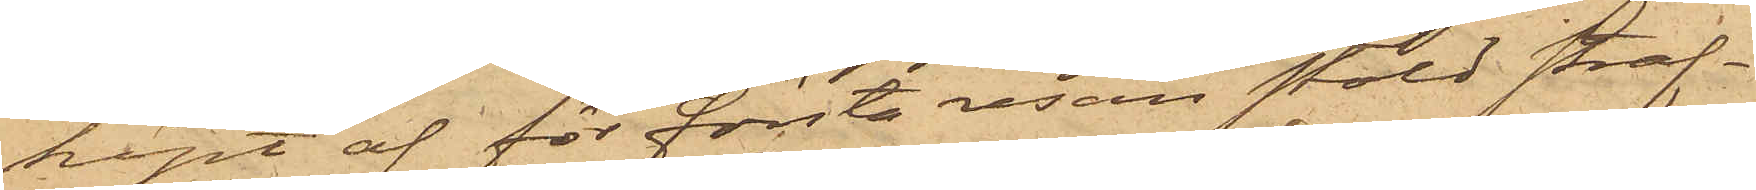köpt af för första resan stöld straf¬
